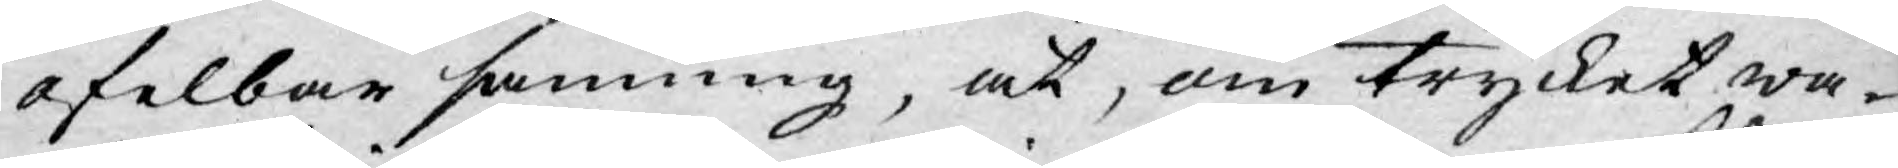ofelbar sanning, at, om trycket wa¬
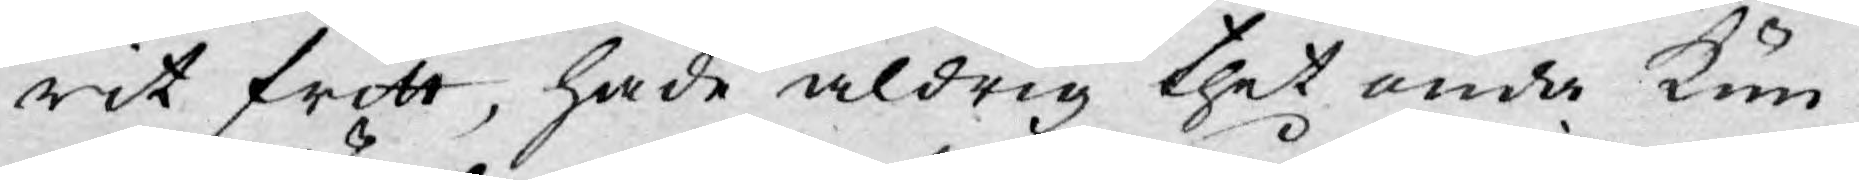rit fritt, hade aldrig thet onda kun¬
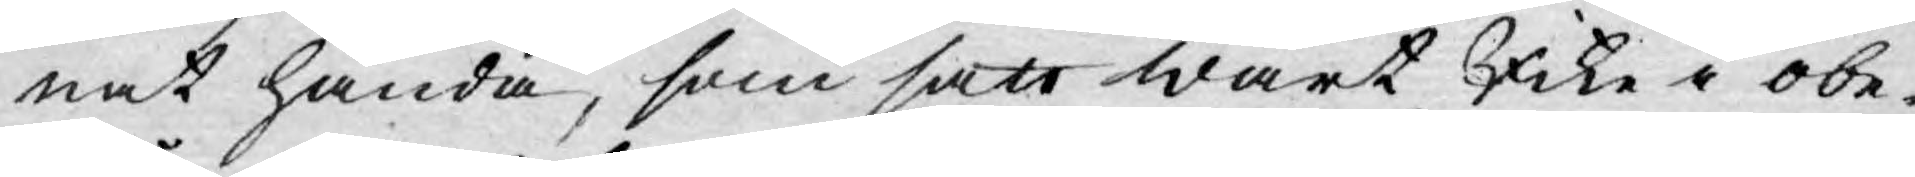nat hända, som satt wårt Rike i obe¬
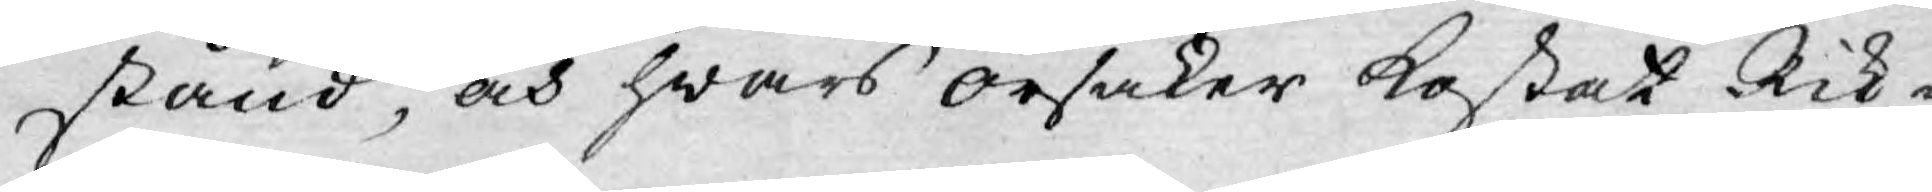stånd, och hwars orsaker kostat Rik¬
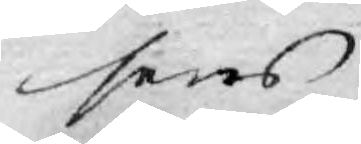sens
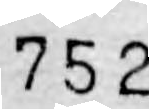752
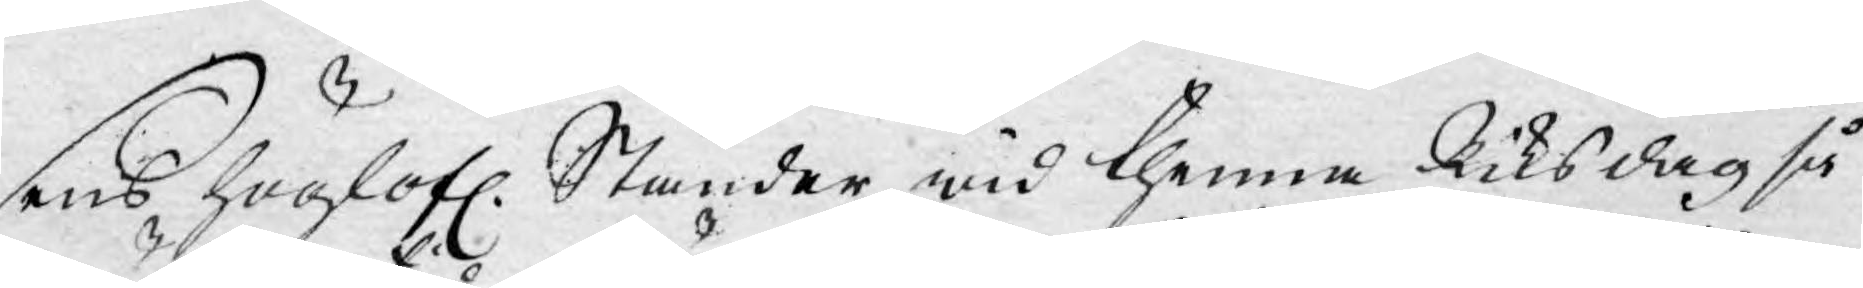sens Höglofl. Ständer wid thenna Riksdag så
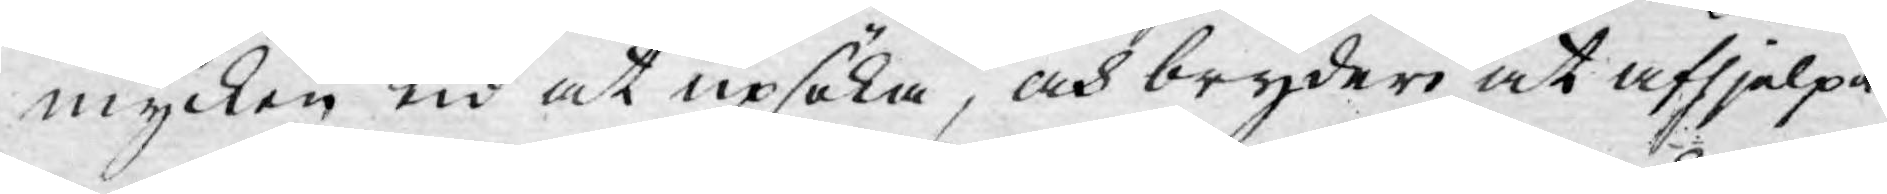mycken tid at upsöka, och bryderi at afhjelpa.
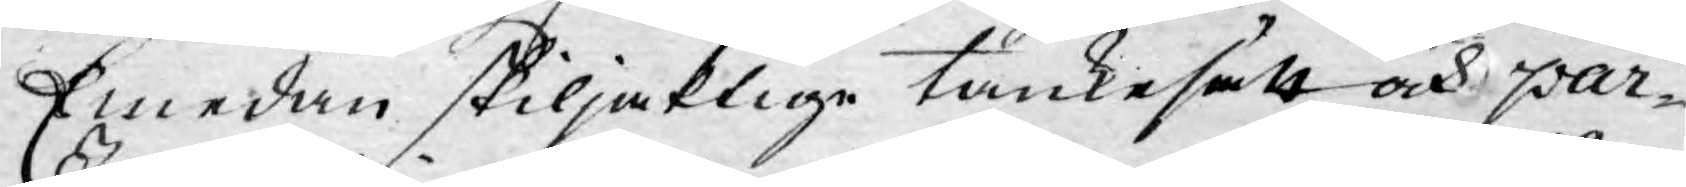Emedan skiljaktige tankesätt och par¬
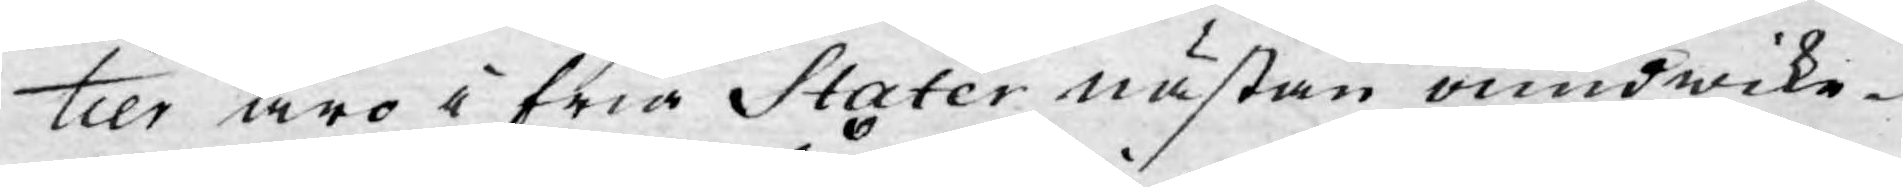tier äro i fria Stater nästan oundwike¬
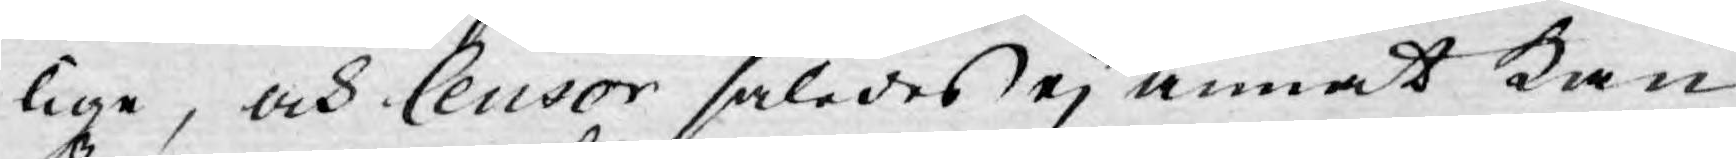lige, och Censor således ej annat kan
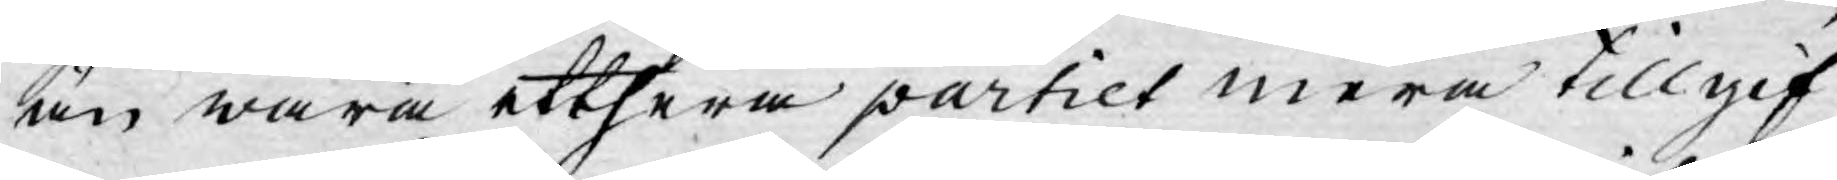än wara etthera partiet mera tillgif¬
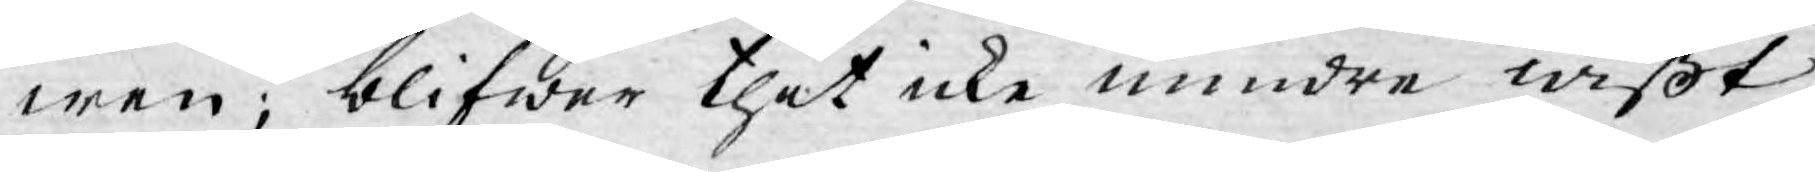wen; blifwer thet icke mindre wißt
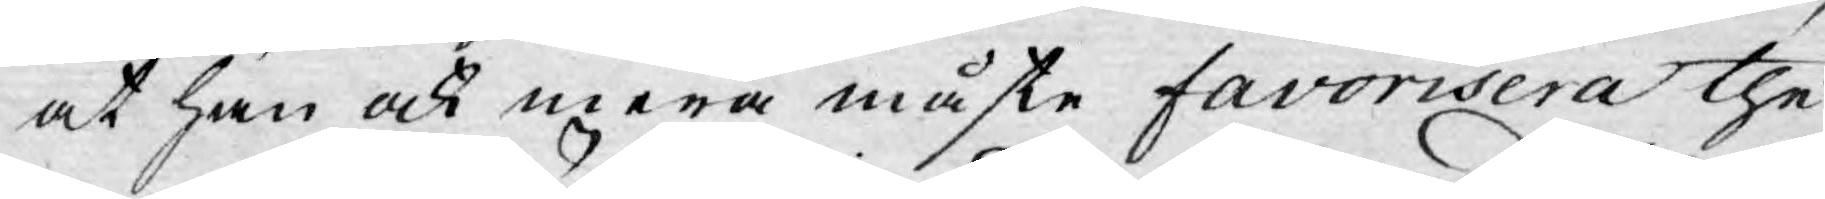at han ock mera måste favorisera the
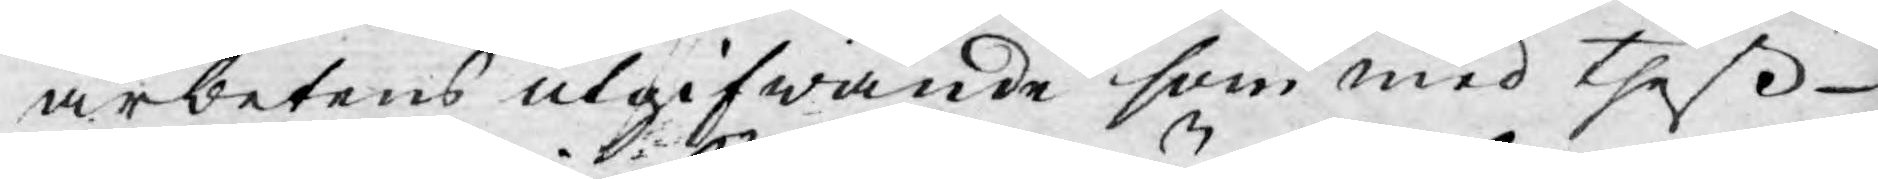arbetens utgifwande som med theß
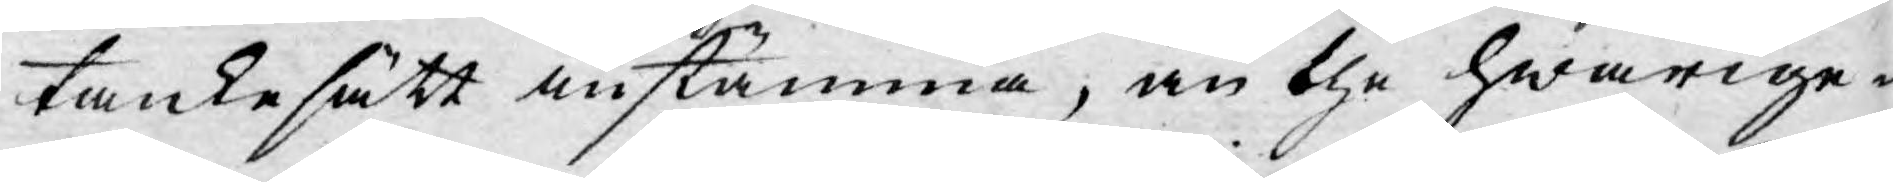tankesätt instämma, än the hwarige¬
